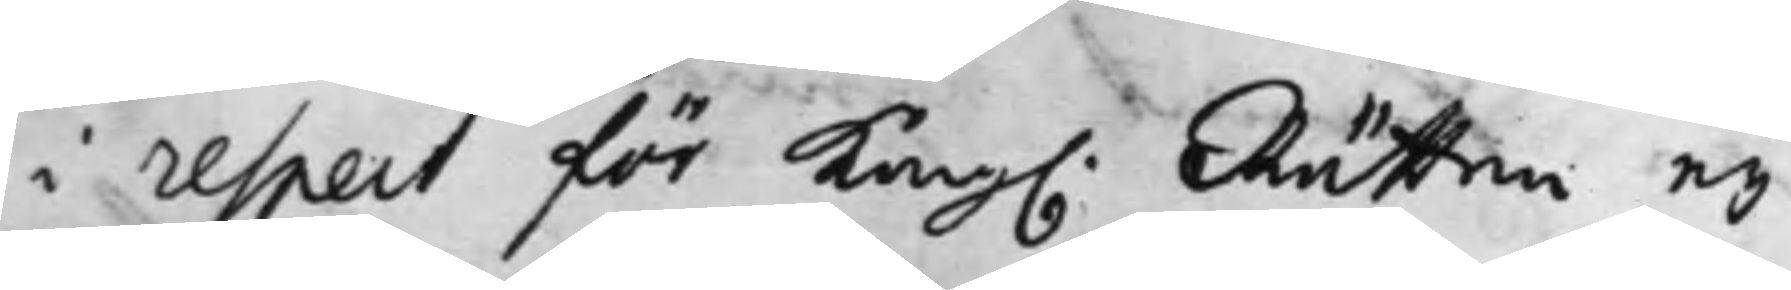i respect för Kong. Rätten ey
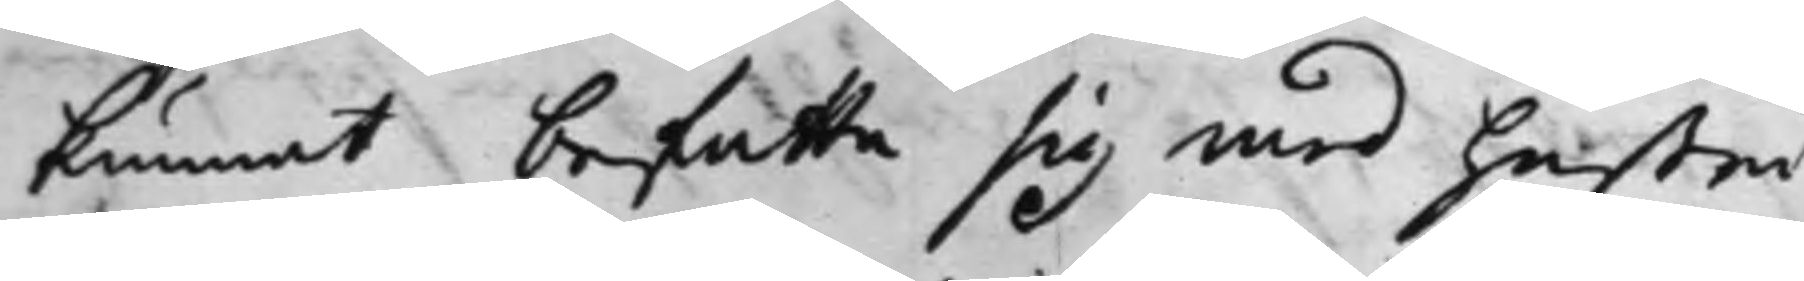kunnat befatta sig med hustru
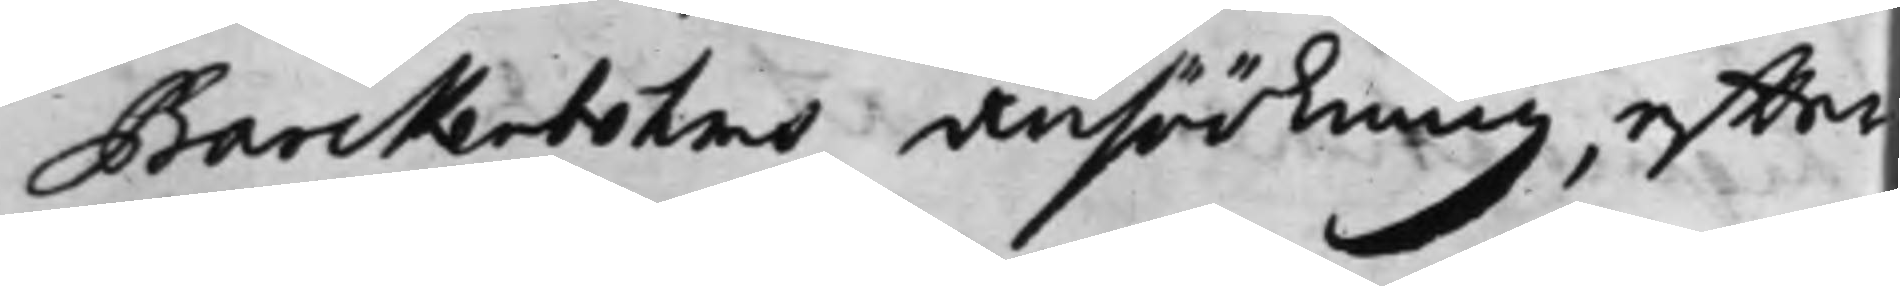Barckenbohms Ansökning, effter
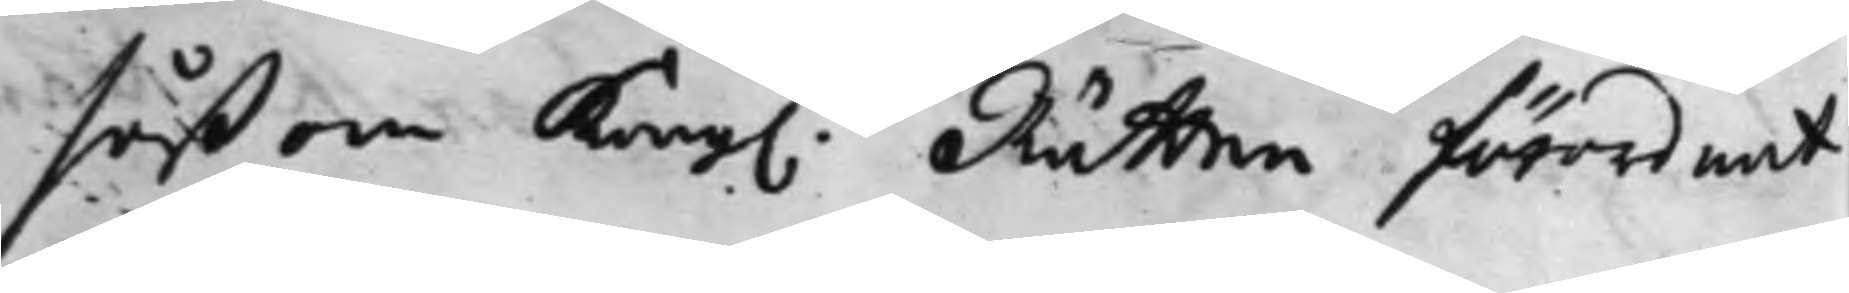såßom Kong. Rätten förordnat
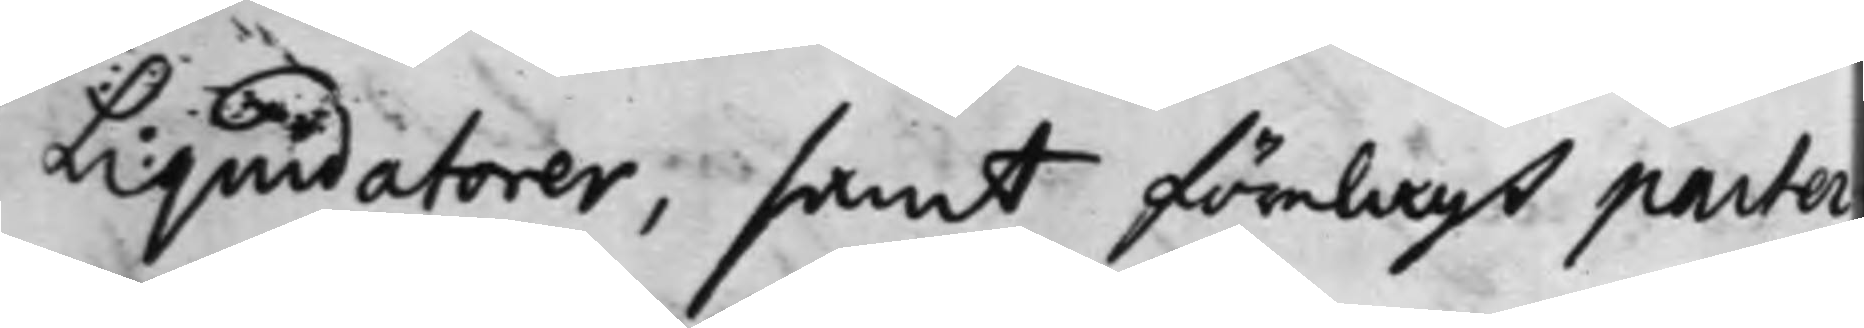Liquidatorer, samt förelagt parter¬
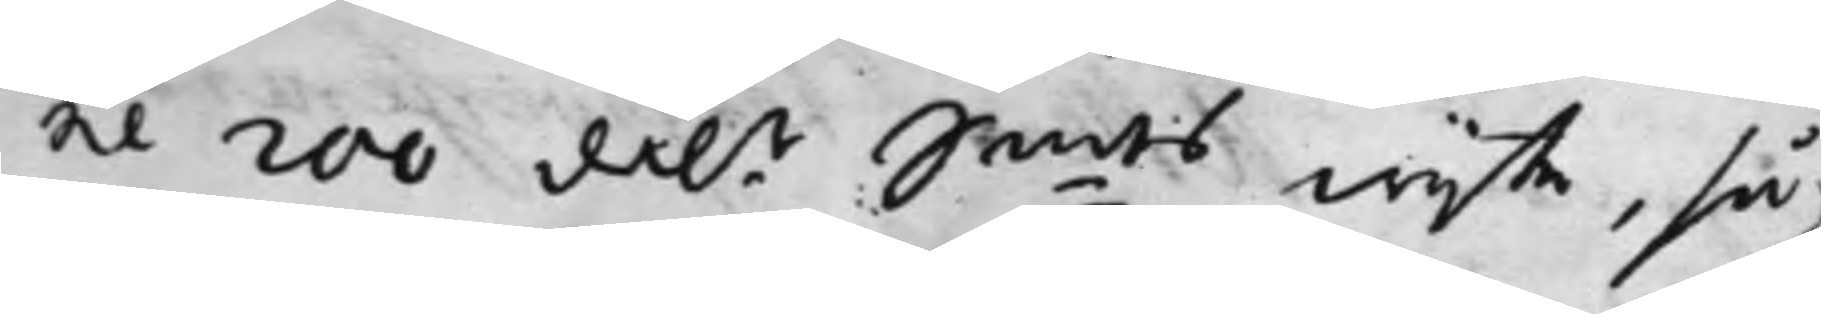ne 200 dal.r S:mts wijte, så
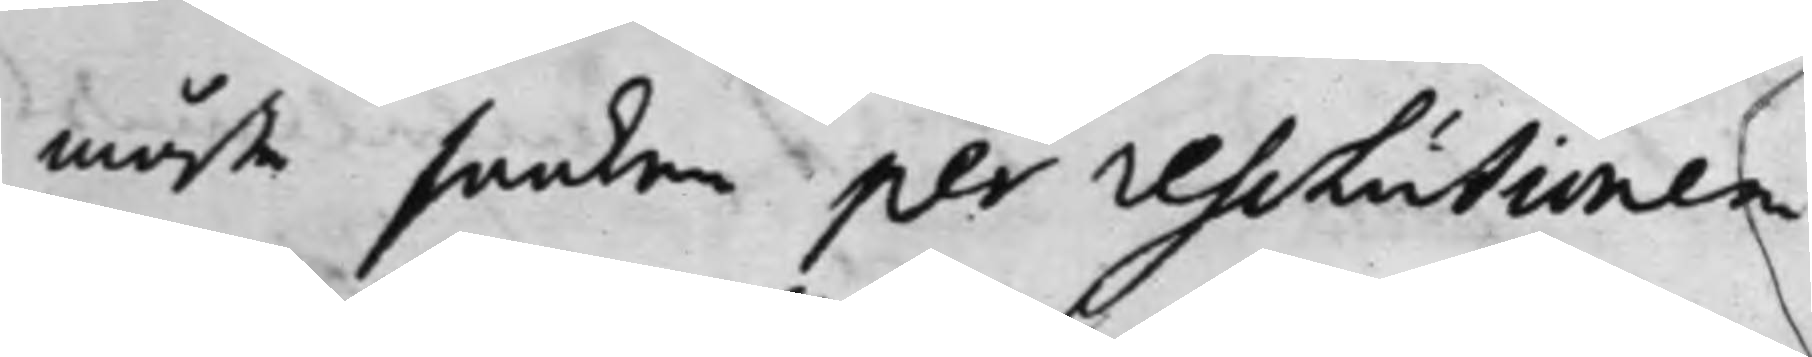måste saaken per resolutionen
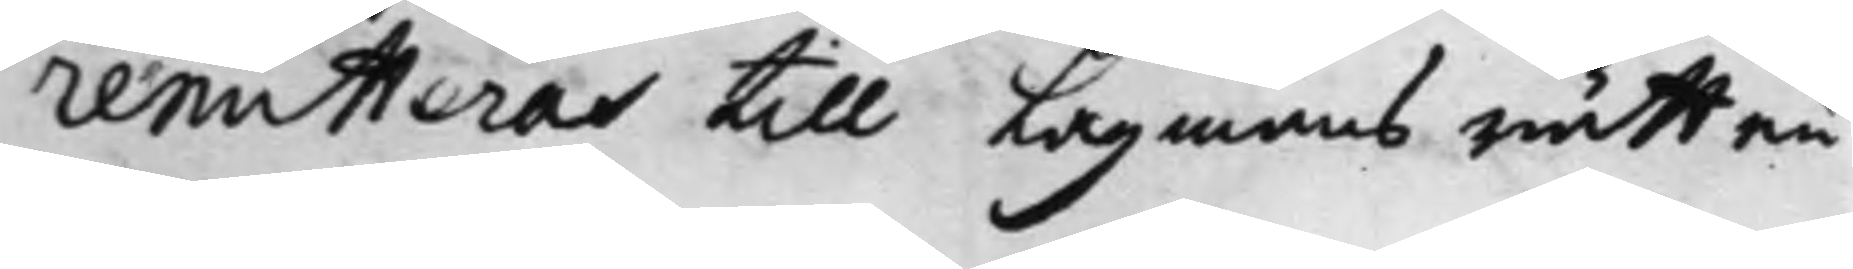remitteras till Lagmans rätten
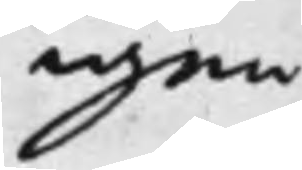igen
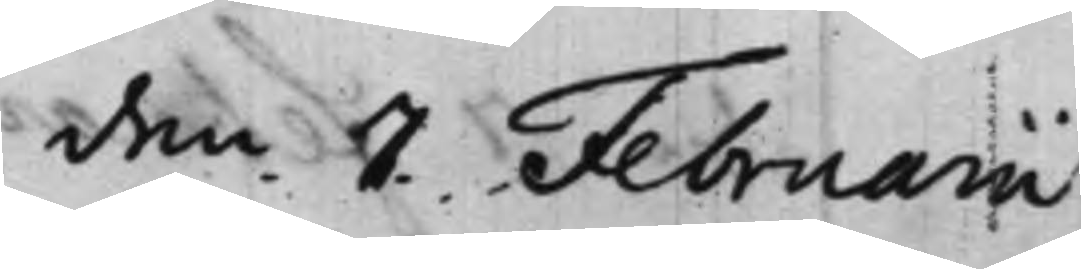den 7 Februarii
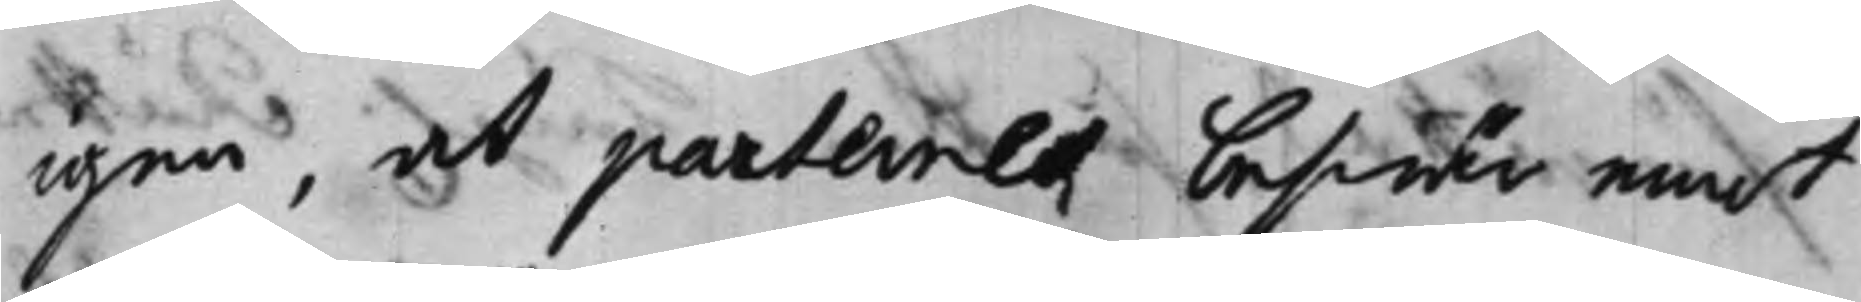igen, at parternes beswär emot
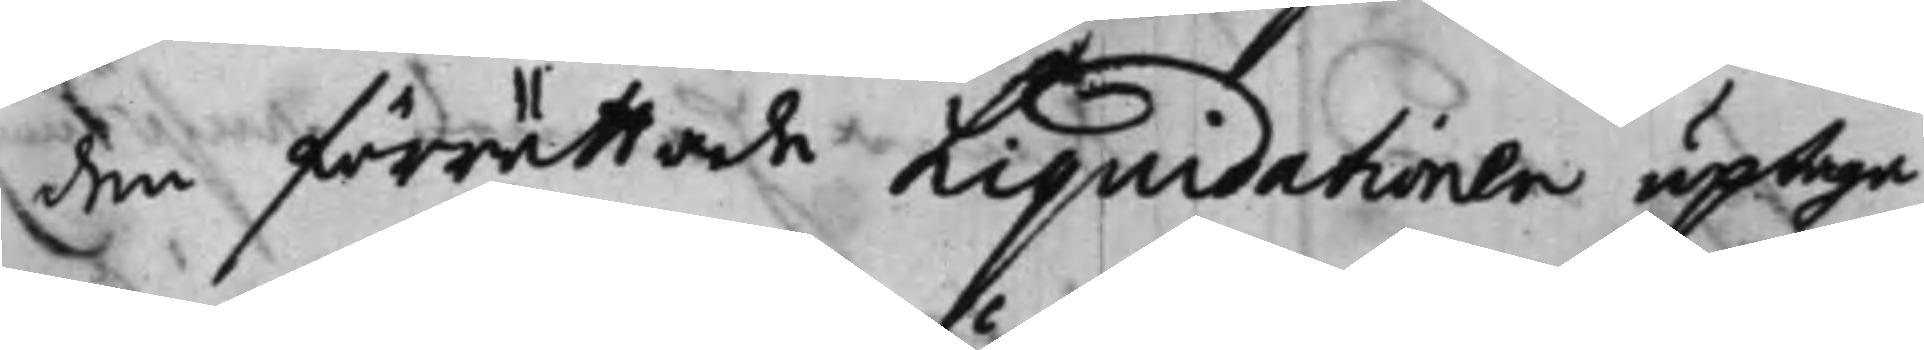den förrättade Liquidationen uptaga
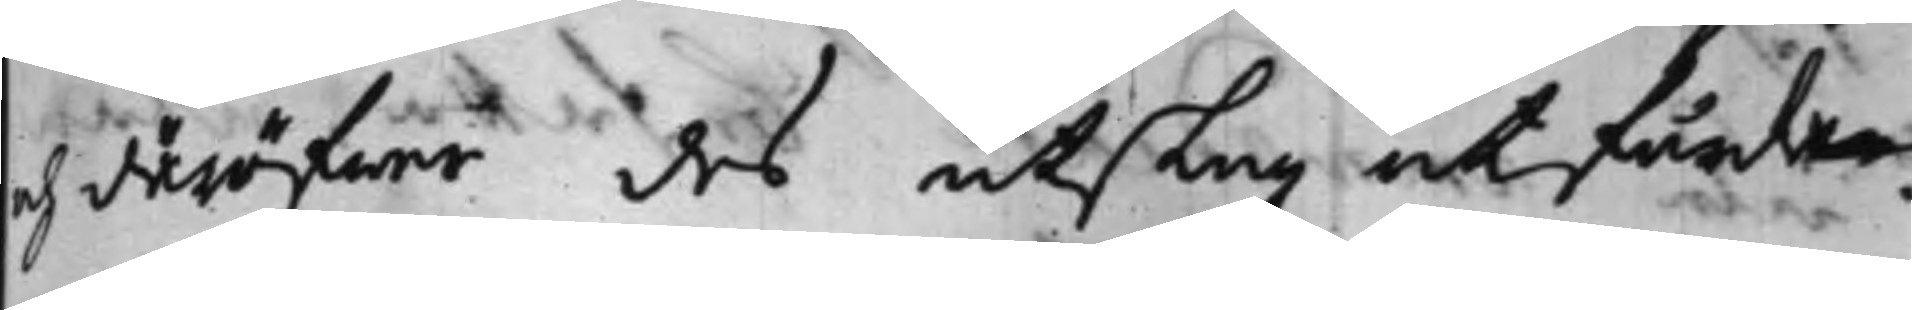och däröfwer des utslag utfärda
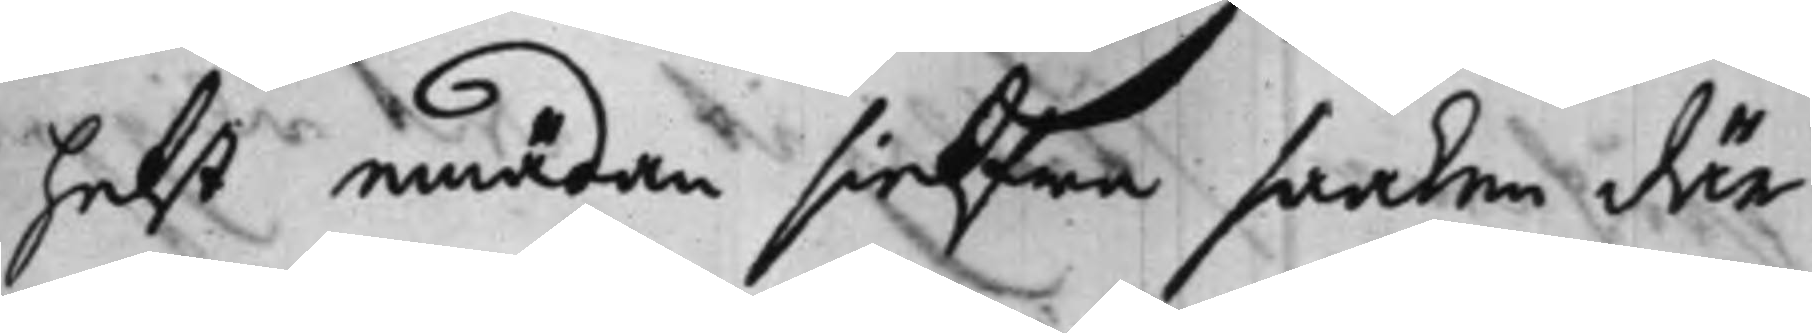helst emädan sielfwa saaken där
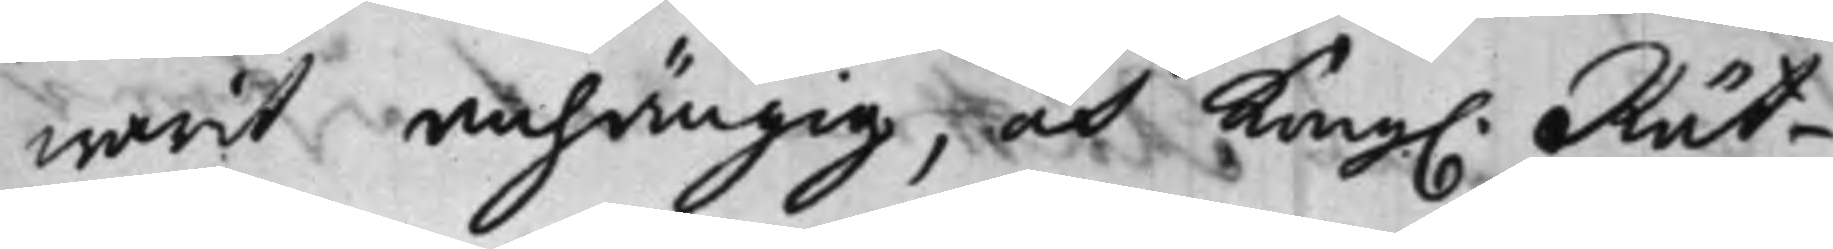warit anhängig, och Kong. Rät¬
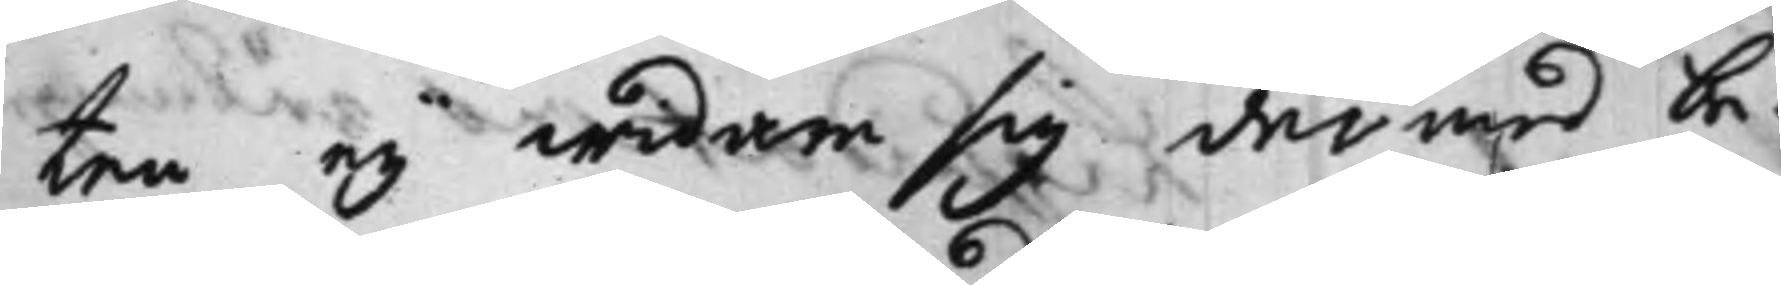ten ey widare sig därmed be¬
